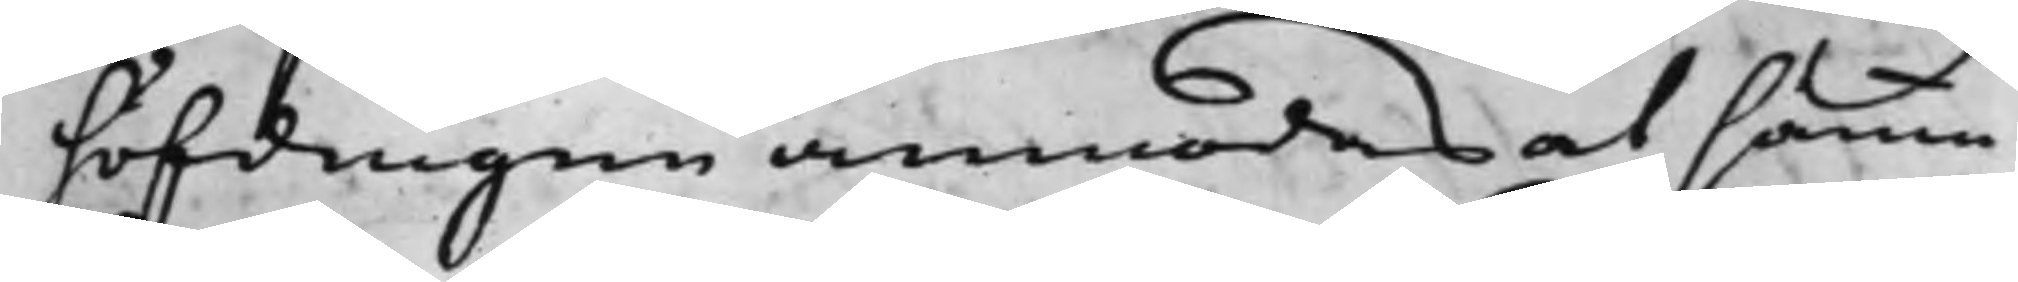höfdingen anmodas at samma
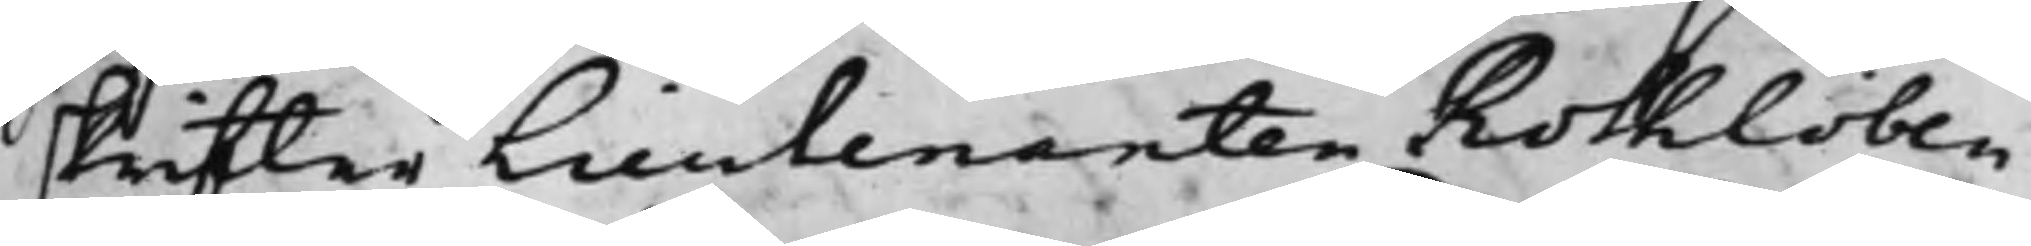skrifter Lieutenanten Rothlöben
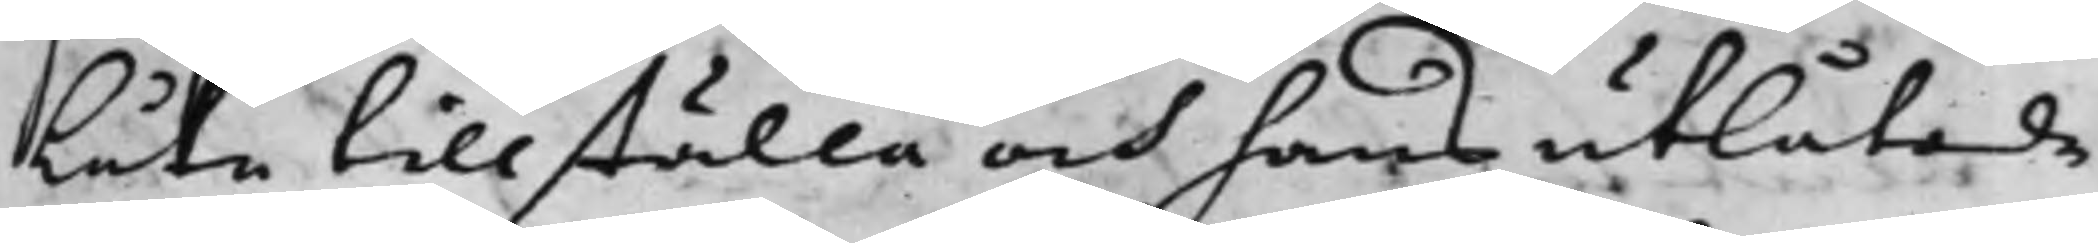låta tillställa och hans utlåtande
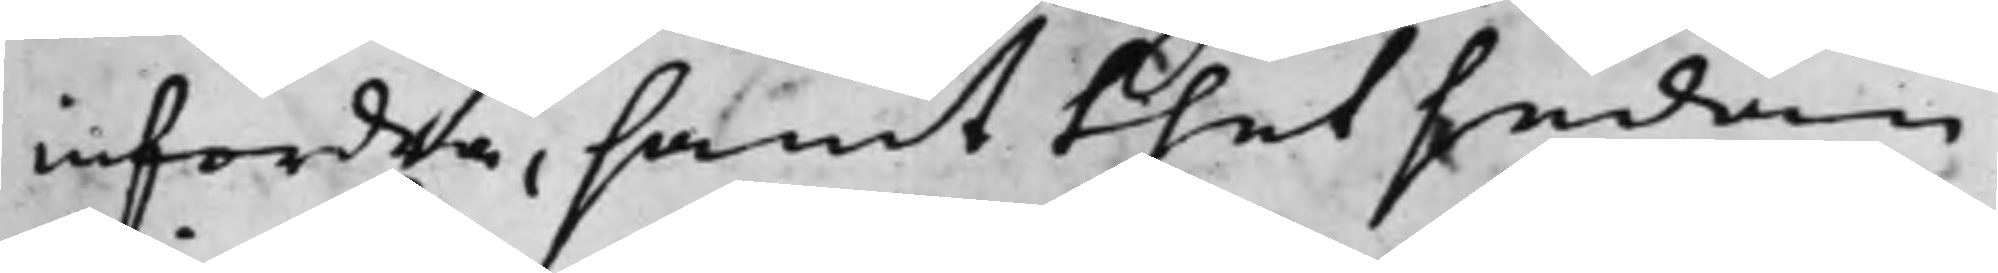infordra, samt thet sedan
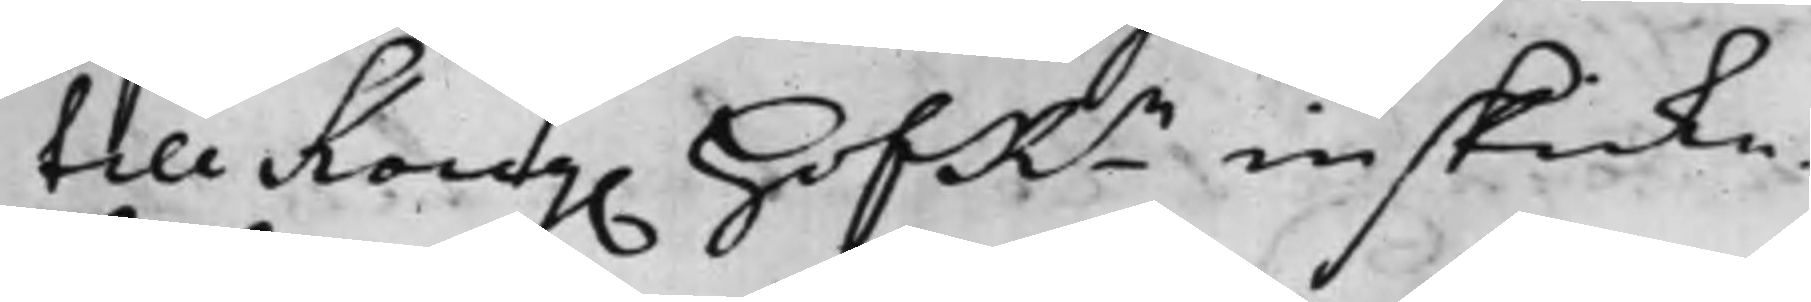till Kong. HofRn inskicka.
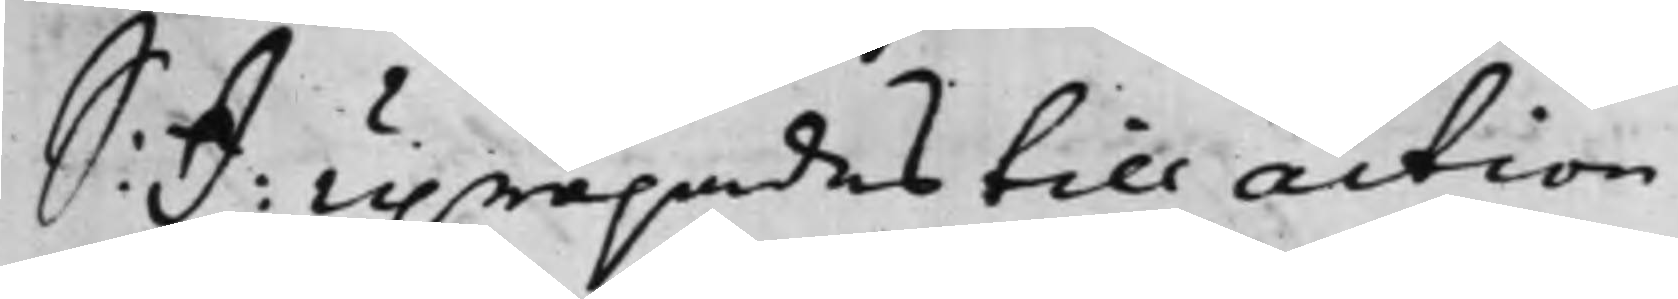S: D: Upropades till action
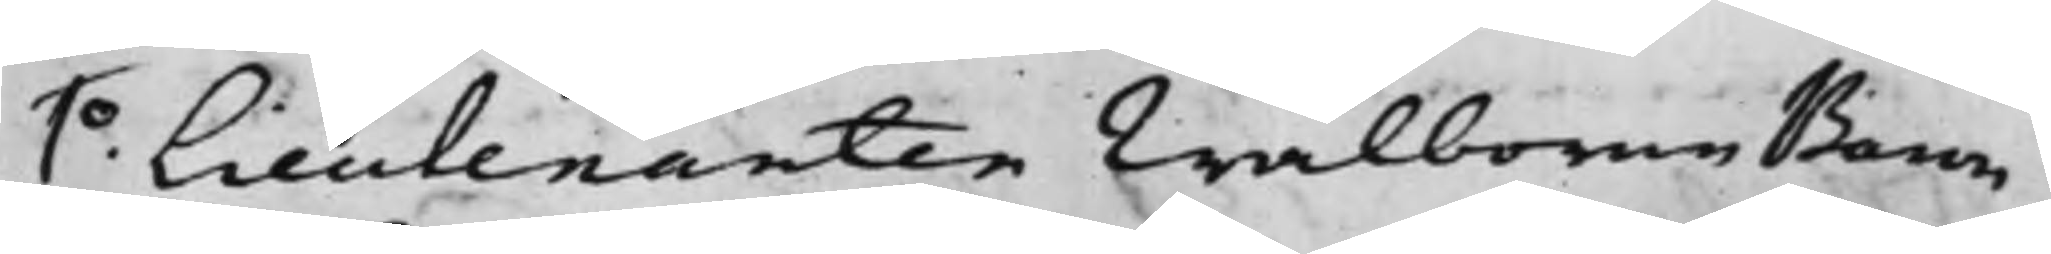1.o Lieutenanten Wälborne Baron
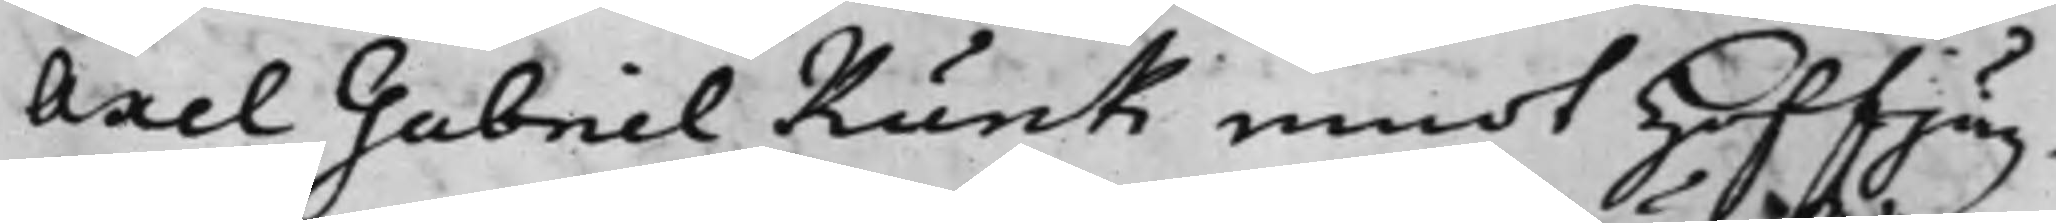Axel Gabriel Kurck emot Hoffjäg¬
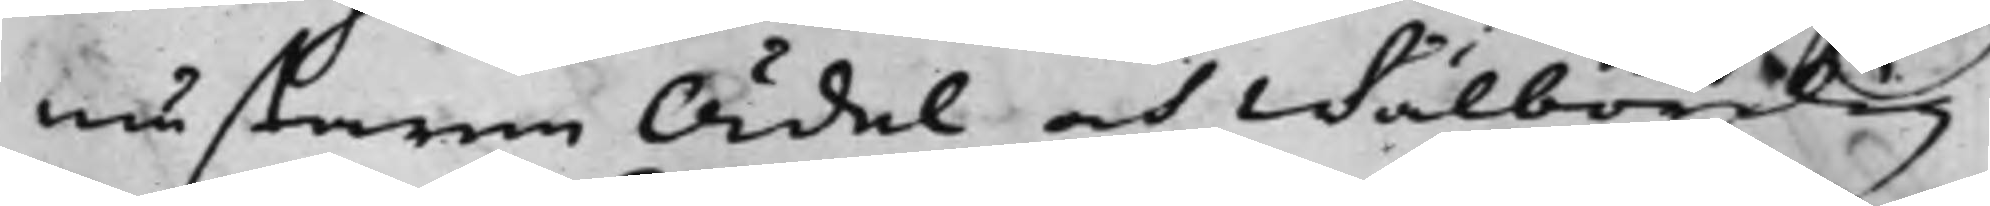mästaren Ädel och Wälbördig
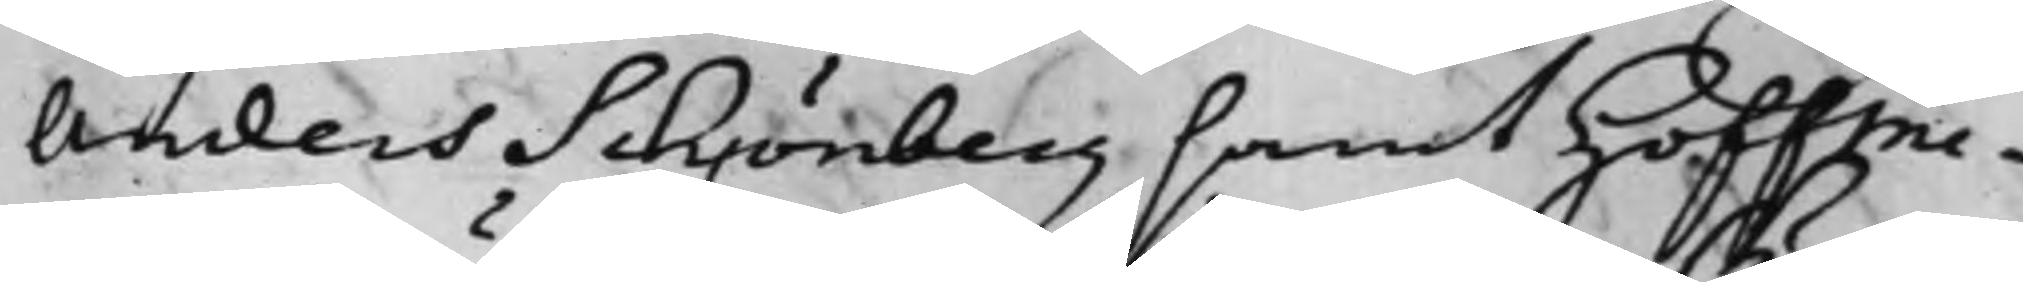Anders Schönberg samt Hoffme¬
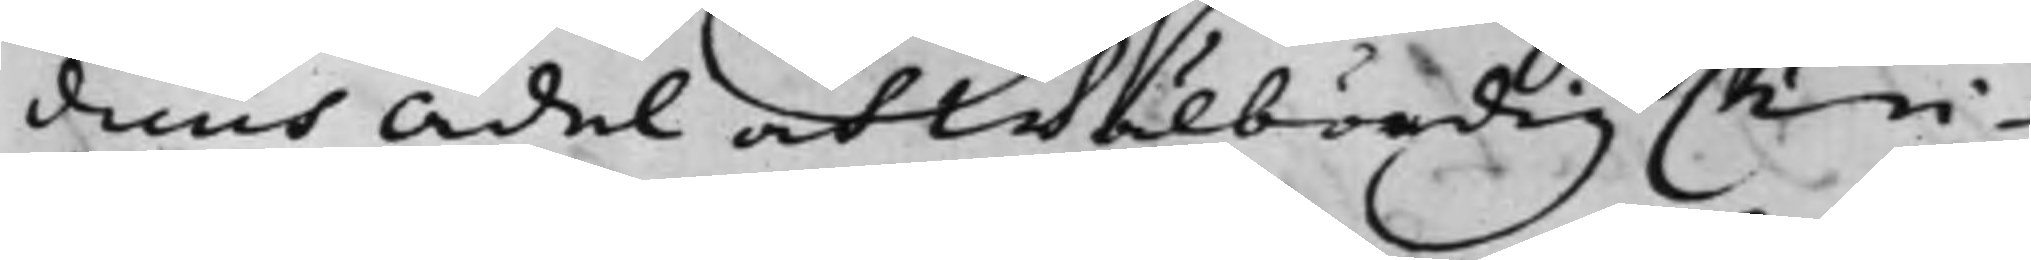dicus Ädel och Wälbördig Chri¬
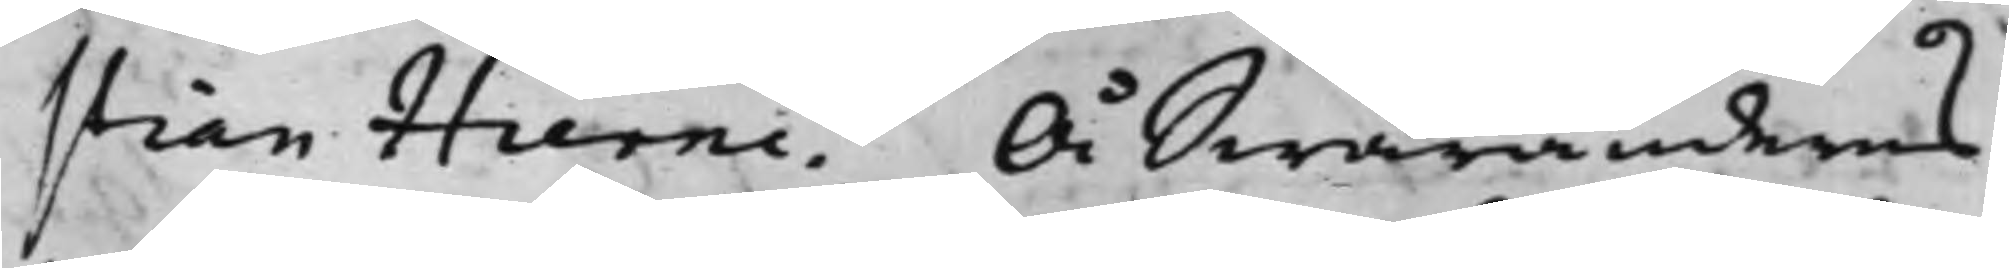stian Hierne. Å Swaranderns
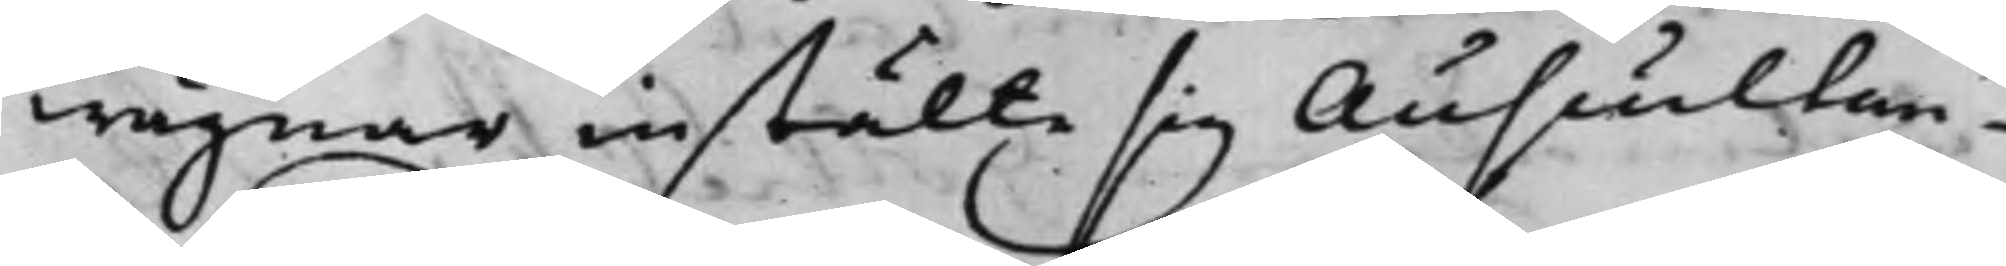wägnar instälte sig Auscultan¬
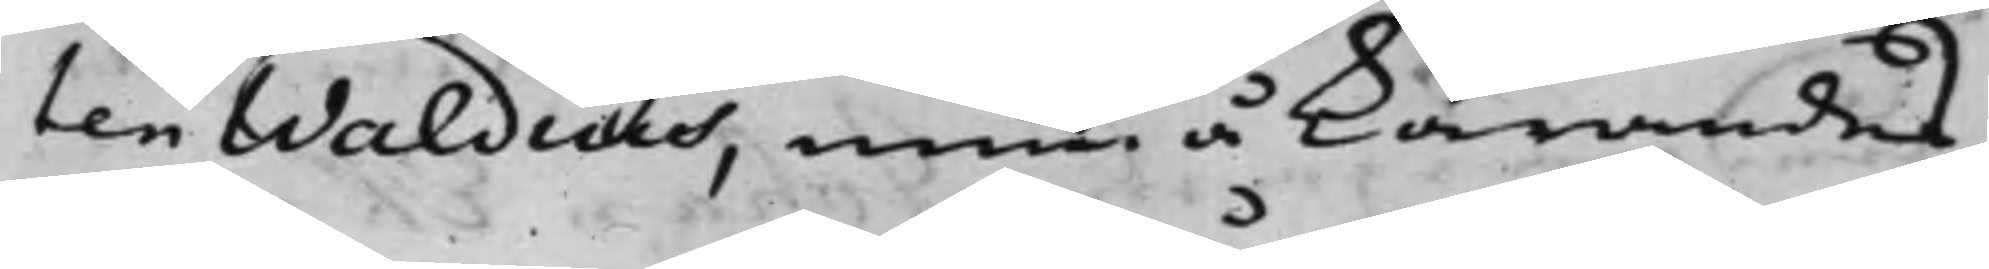ten Waldius, men å Kärandes
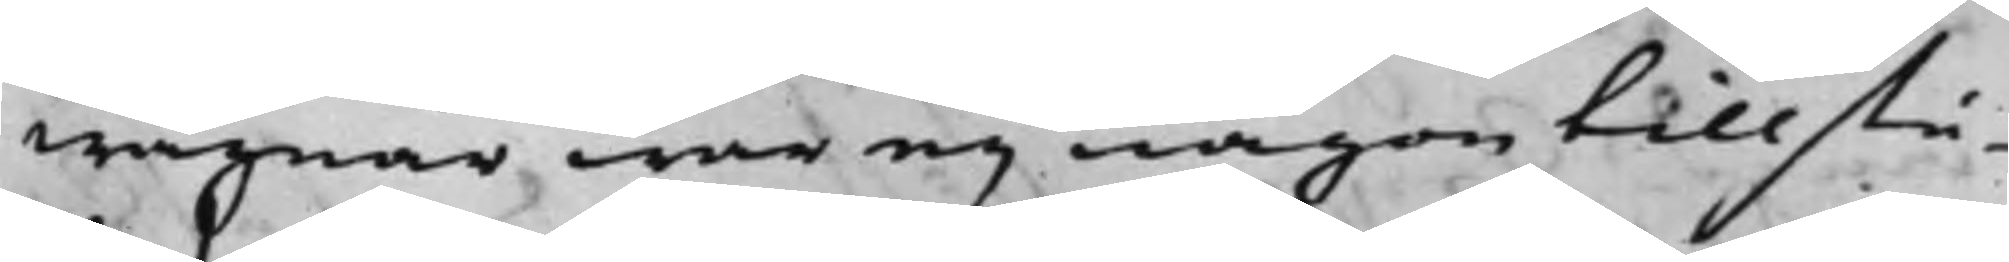wägnar war eij någon tillstä¬
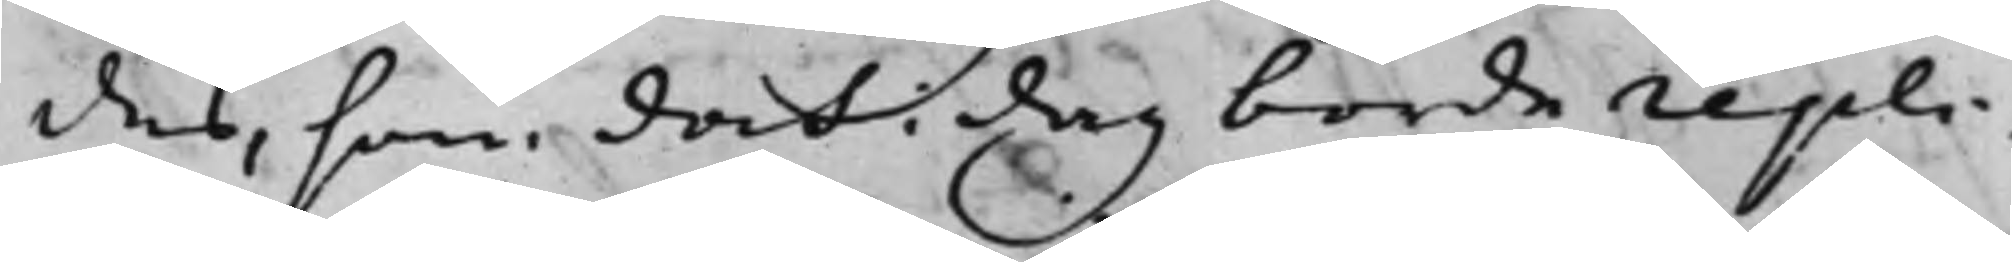des, som doch i dag borde repli¬
